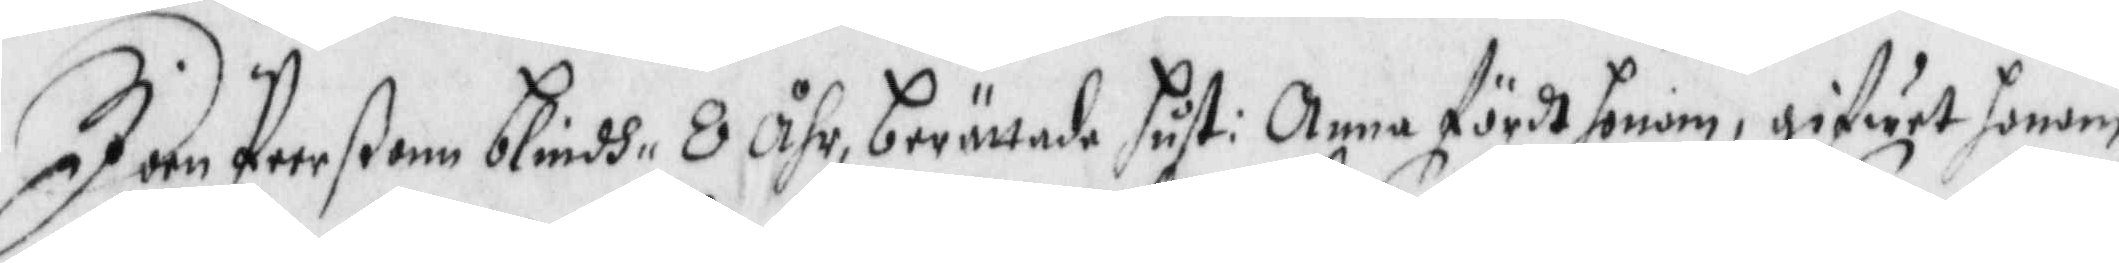Jan Peerßonn blindh 8 Åhr berättade hust: Anna fördt honom, gifwet honom
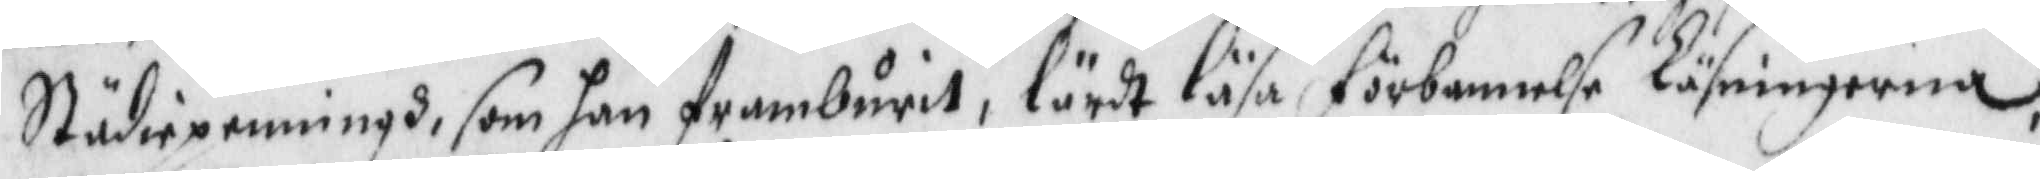Städiepennngh, som han framburit, lärdt läsa förbannelse Lösningarna.
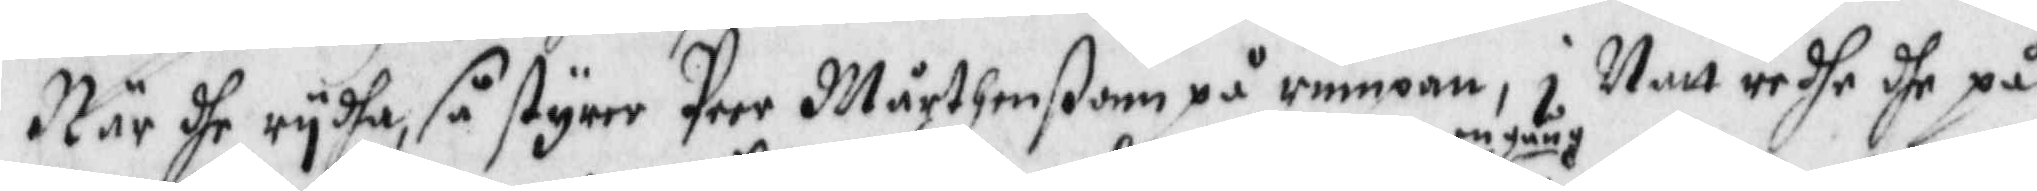När dhe rydha, så styrer Peer Mårthenßonn på rumpan, i Natt redhe dhe på
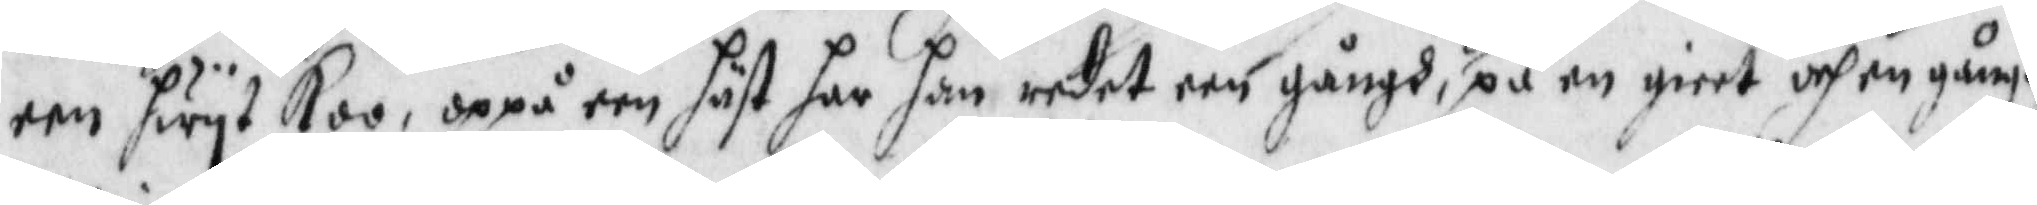een hwyt Koo, oppå een häst har han redet een gångh, en gång, på en giort och en gångh
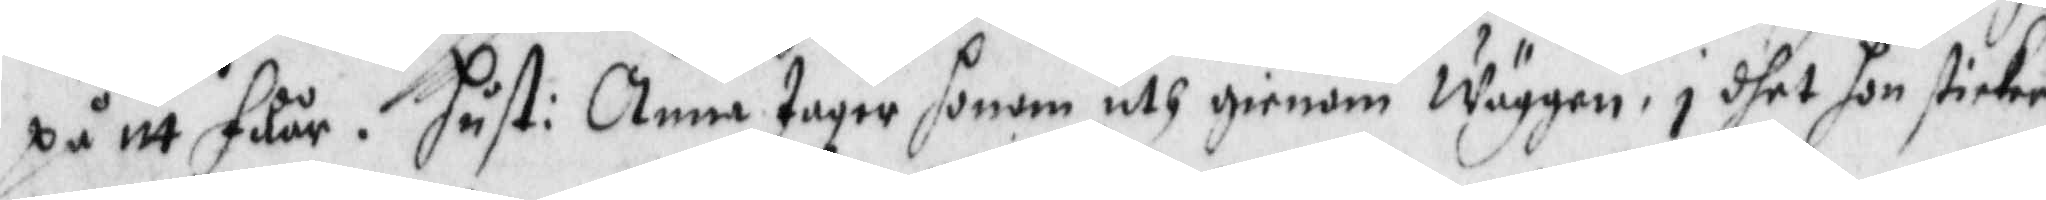på itt fåår. hust: Anna tager honom uth genom Wäggen, i dhet hon sticker
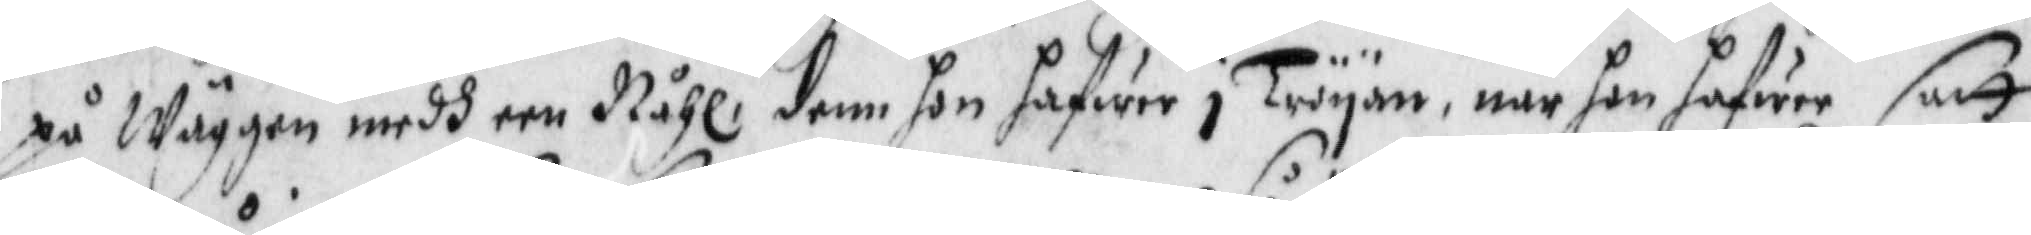på Wägen medh een Nåhl, denn hon hafwer i Tröyan, när hon hafwer satt
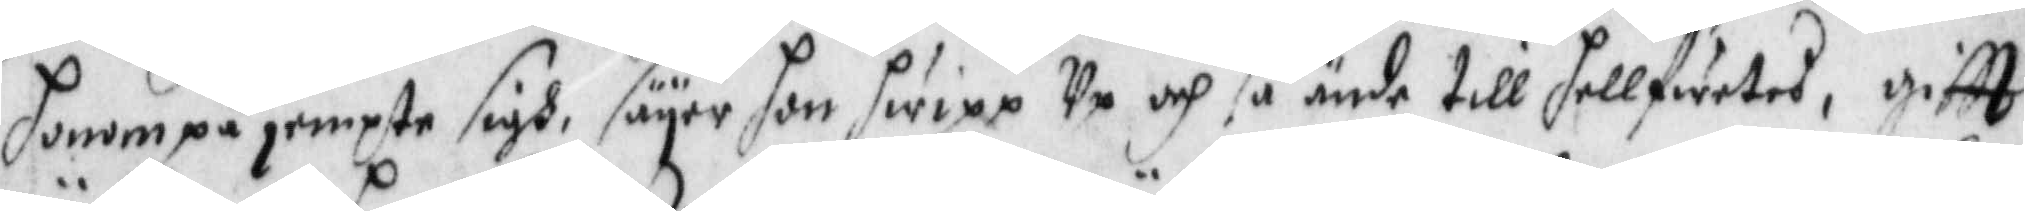honom på jempte sigh, säyer hon hwipp Up och så ända till hellfwetet, giftt
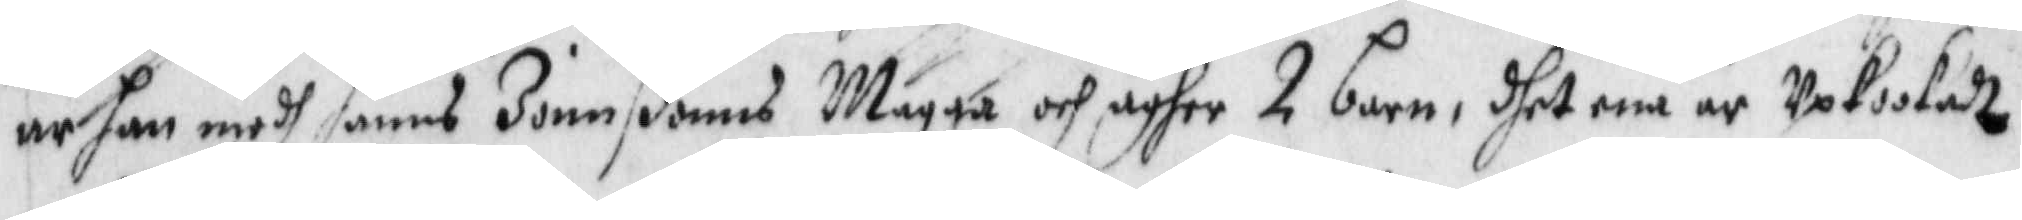är han medh hanns Jonnßonns Magga, och äger 2 barn, dhet ene är Upkookadt
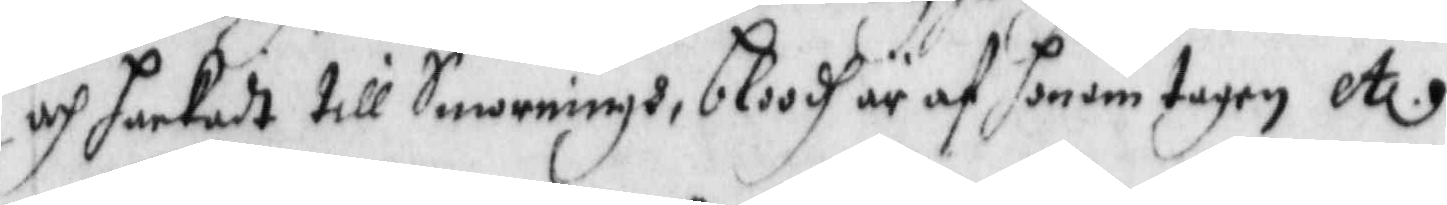och hackadt till Smorningh, bloodh är af honom tagen etc.
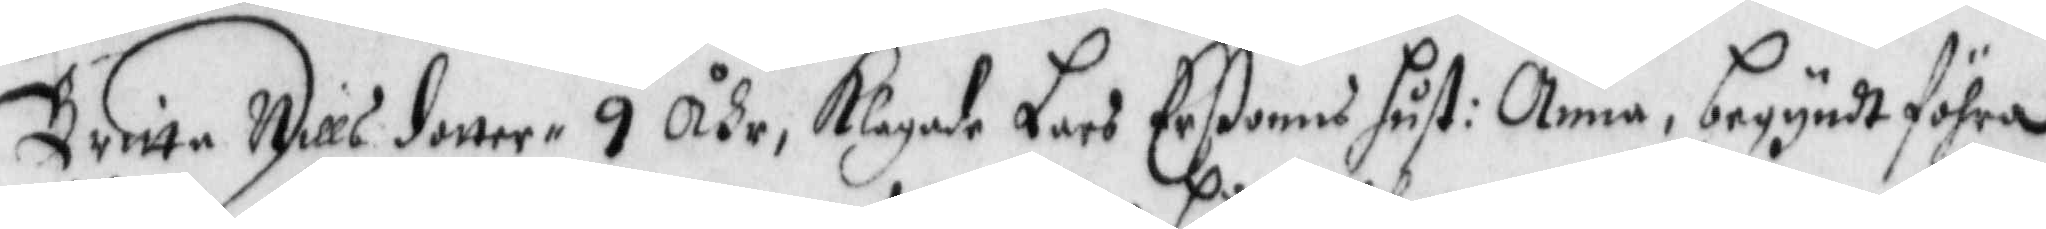BrittaNills dotter 9 Åhr, Klagade Lars Erßonns hust: Anna, begyndt föhra
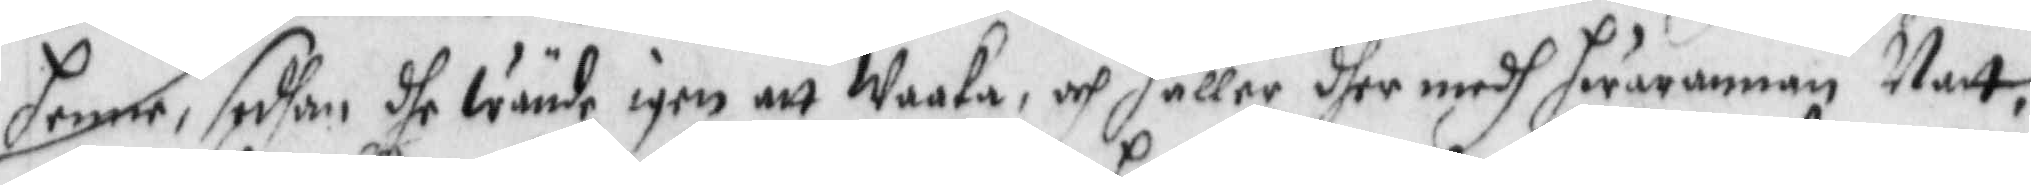henne, sedhan dhe wände igen att Waaka, och håller dher medh hwarannan Natt,
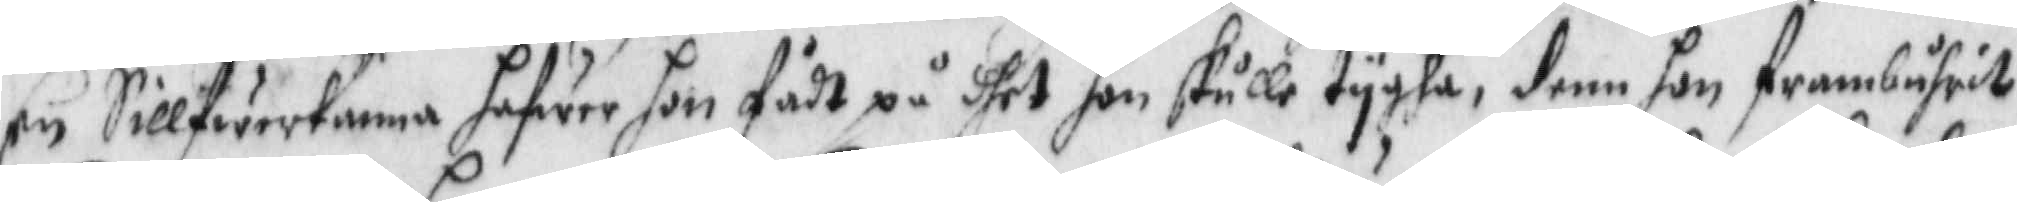En Sillfwerkanna hafwer honfådt på dhet hon skulle tygha, denn hon frambuhrit
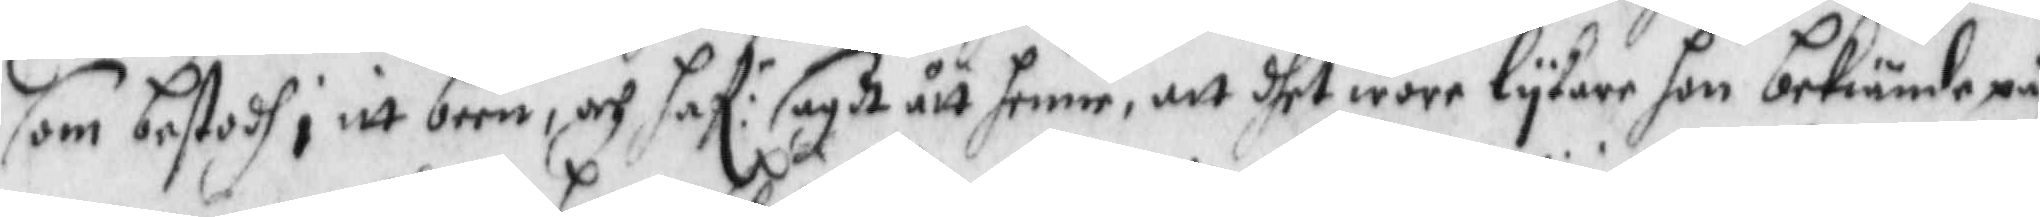som bestodh i itt been, och haf:r sagdt ått henne, att dhet wore lykare hon bekinde på
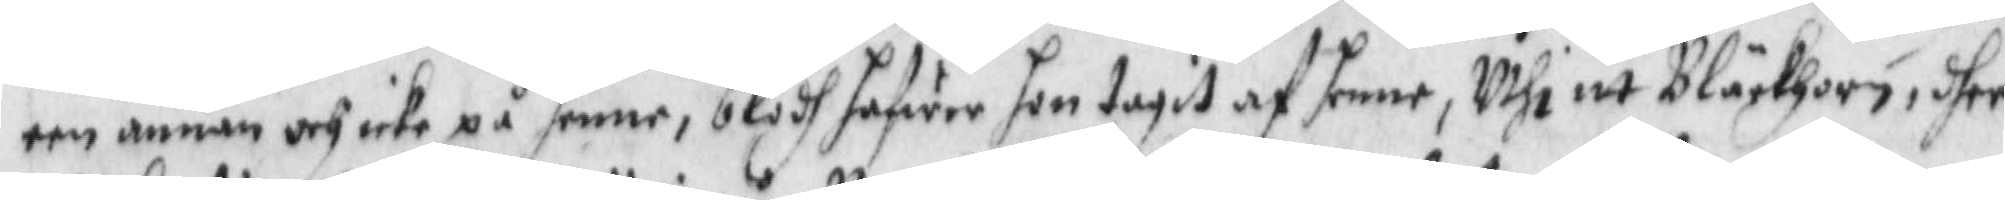een annan och icke på henne, blodh hafwer hon tagit af henne, Uthi itt Bläckhorn, dher
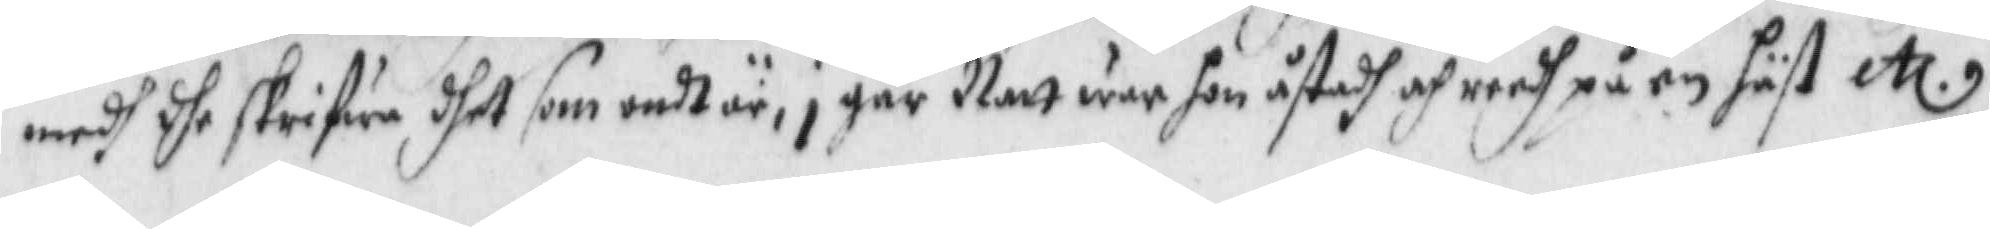medh dhe skrifwa dhet som ondt är, i  går Natt war hon åstadh och reedh på en häst etc.
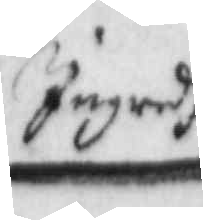Ingredh
